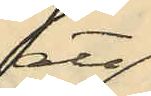att
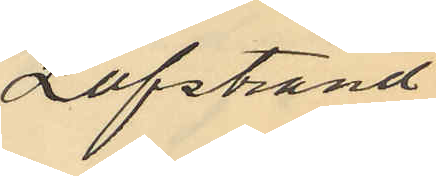Löfstrand
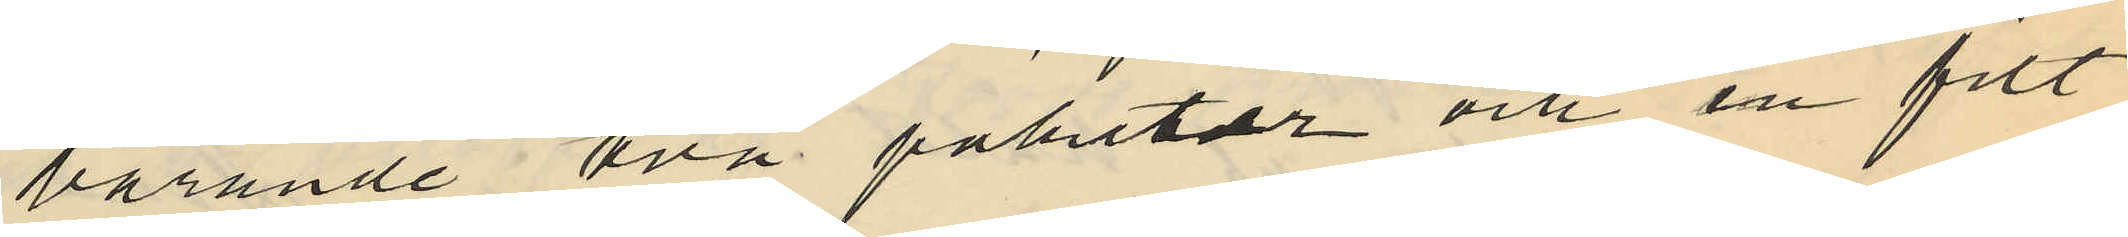bärande två paketer och en filt
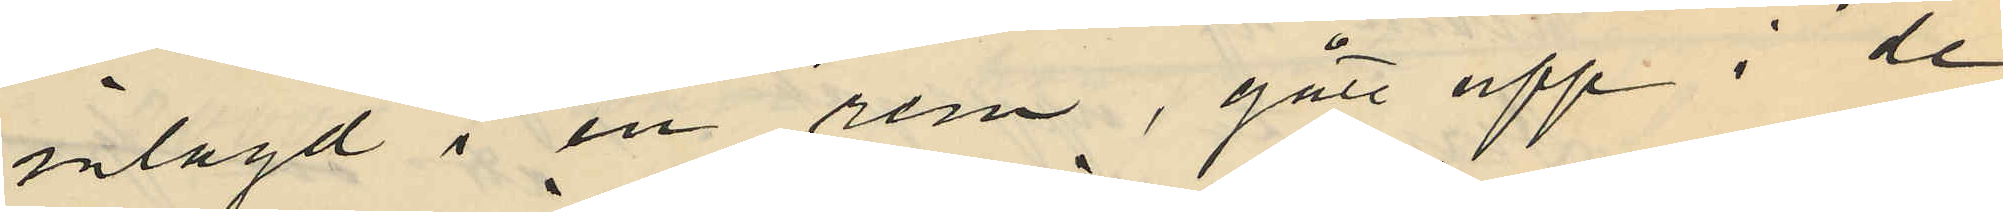inlagd i en rem, gått upp i de
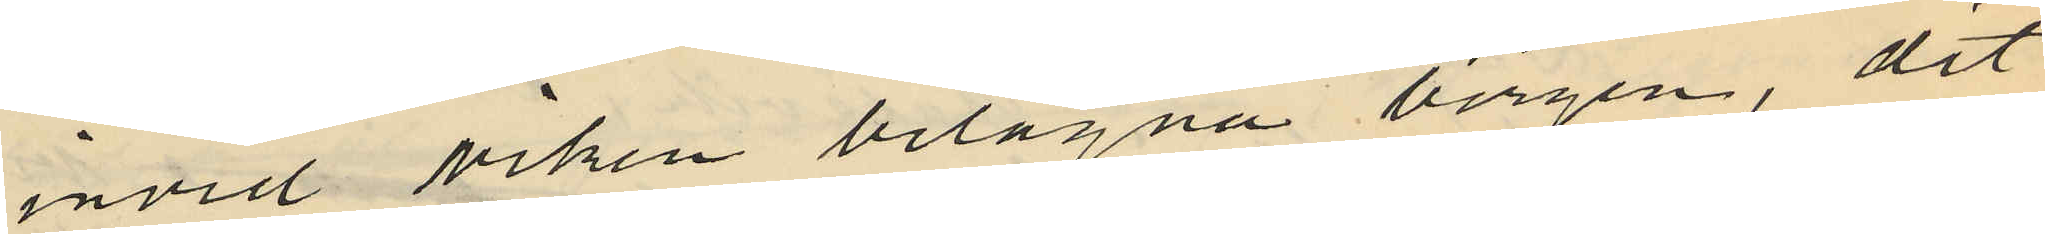invid viken belägna bergen, dit
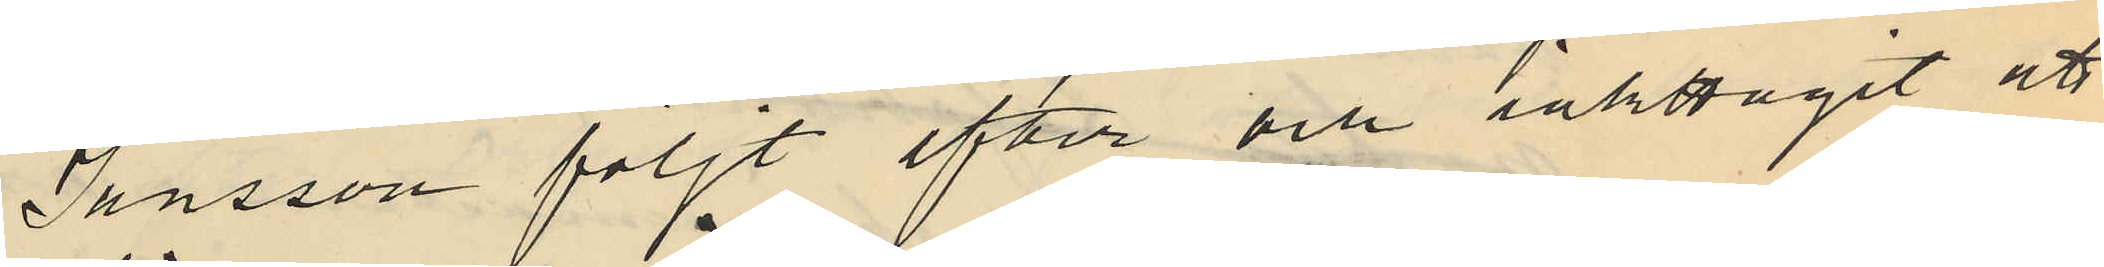Jansson följt efter och iakttagit att
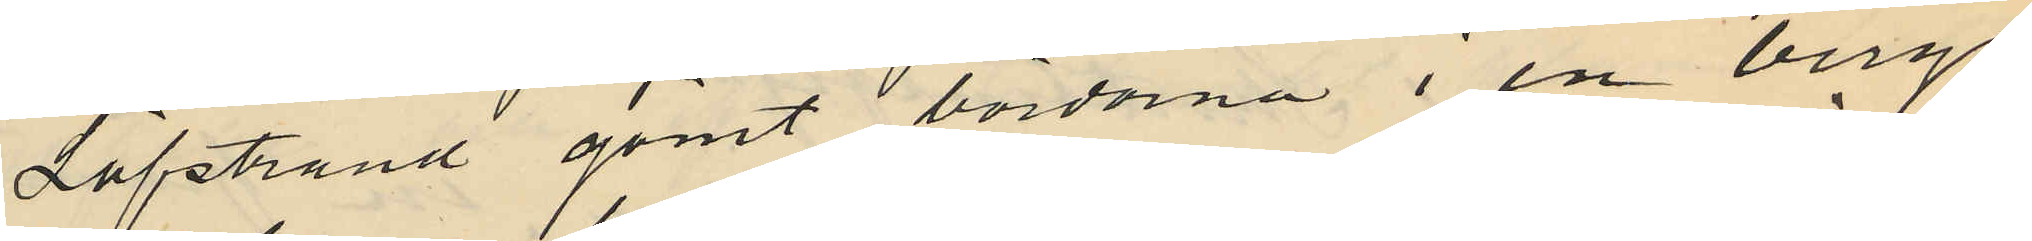Löfstrand gömt bördorna i en bergs
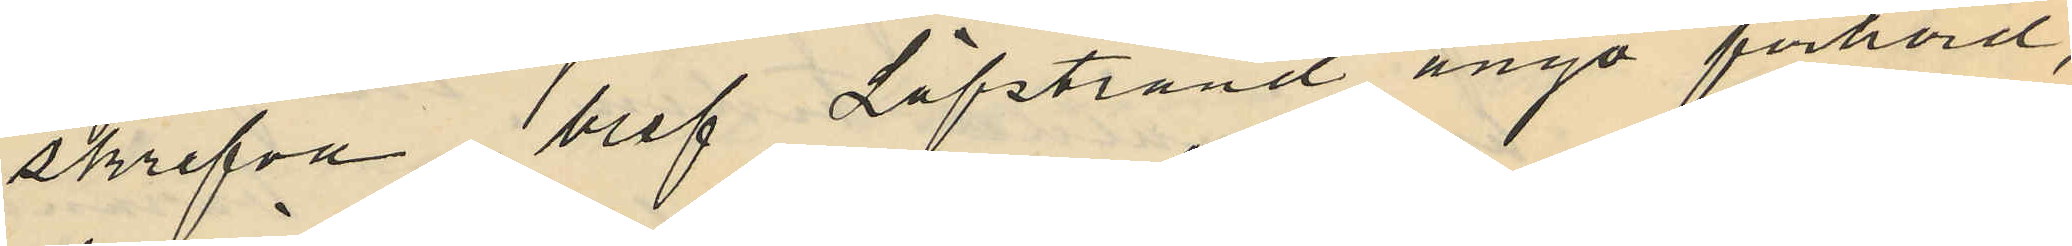skrefva blef Löfstrand ånyo förhörd,
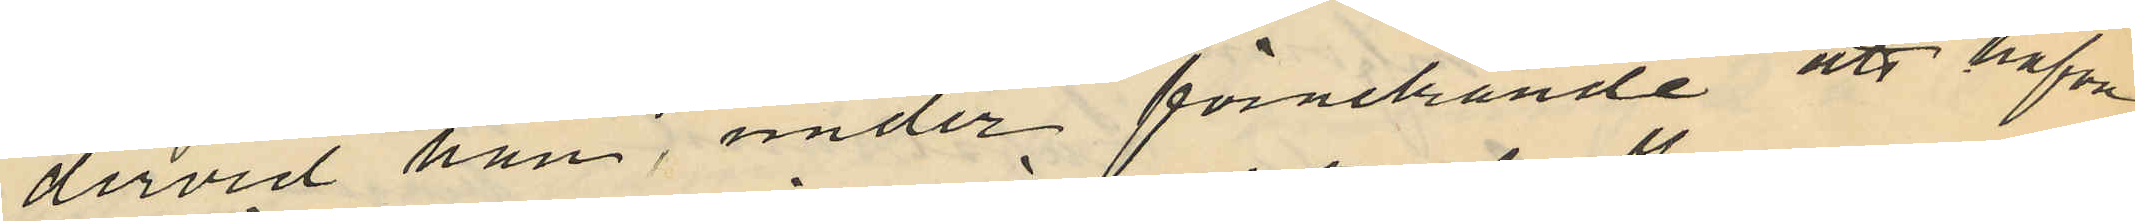dervid han, under förnekande att hafva
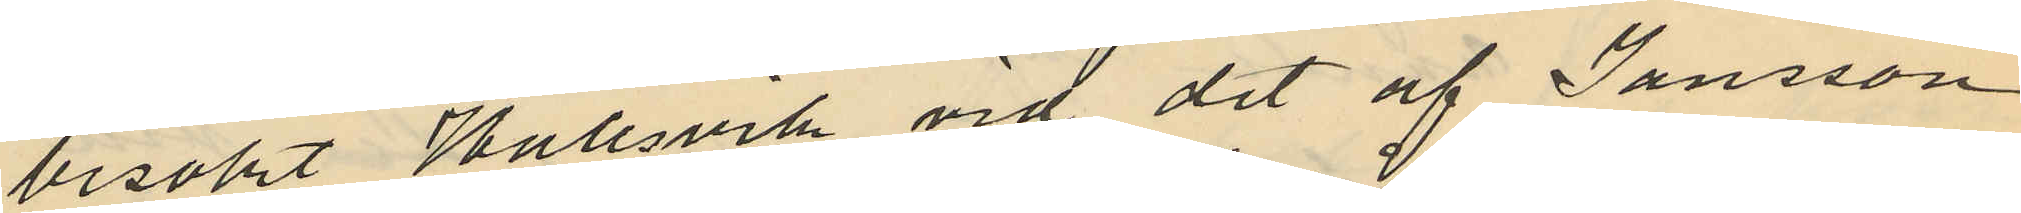besökt Hallsvik vid det af Jansson
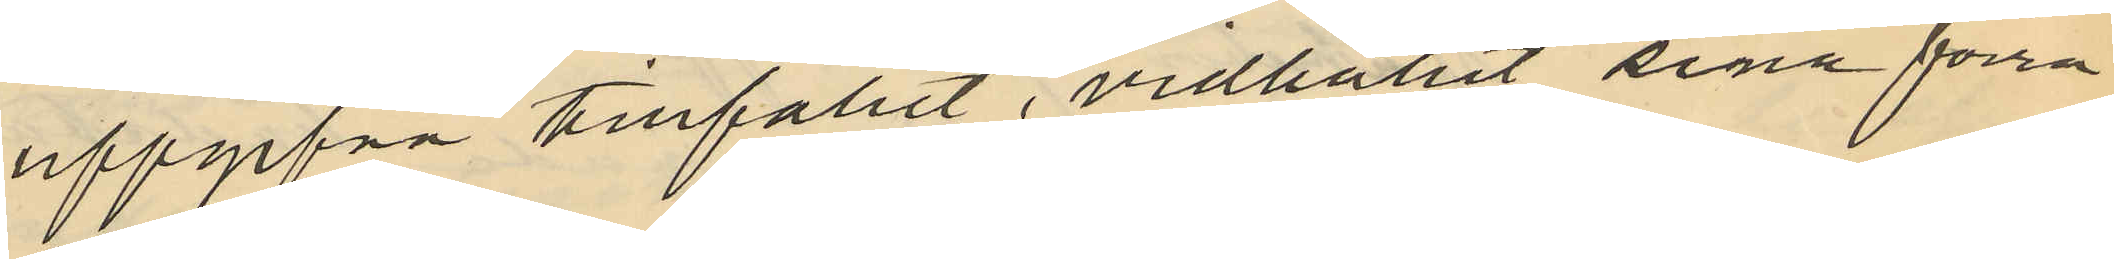uppgifva tillfället, vidhållit sina förra
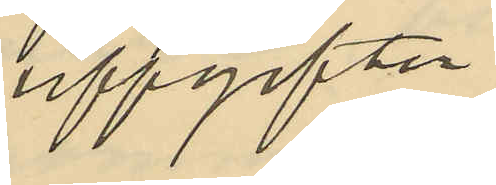uppgifter.
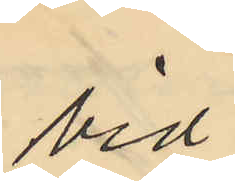vid
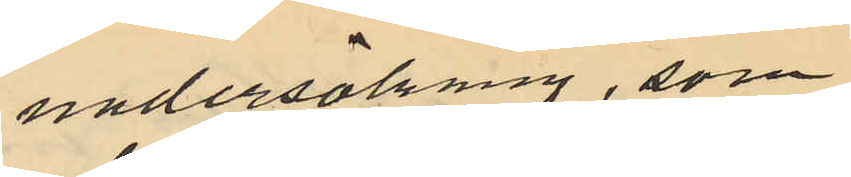undersökning, som
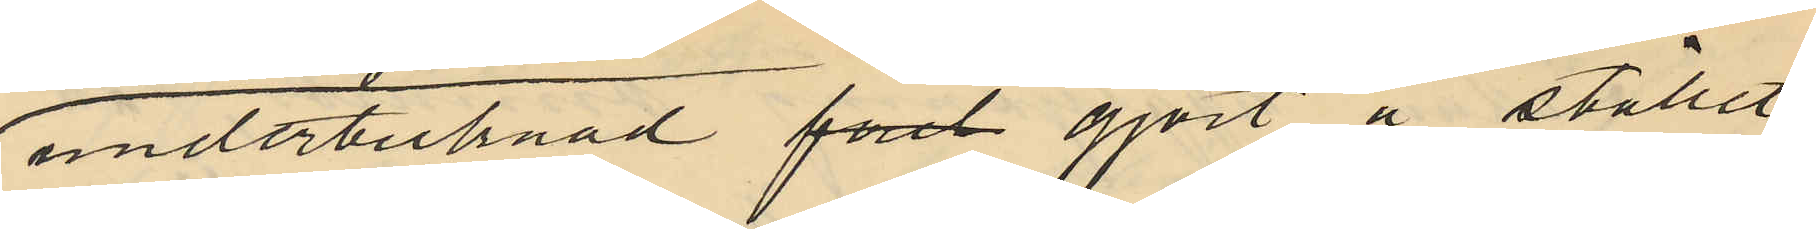undertecknad förd gjort å stället
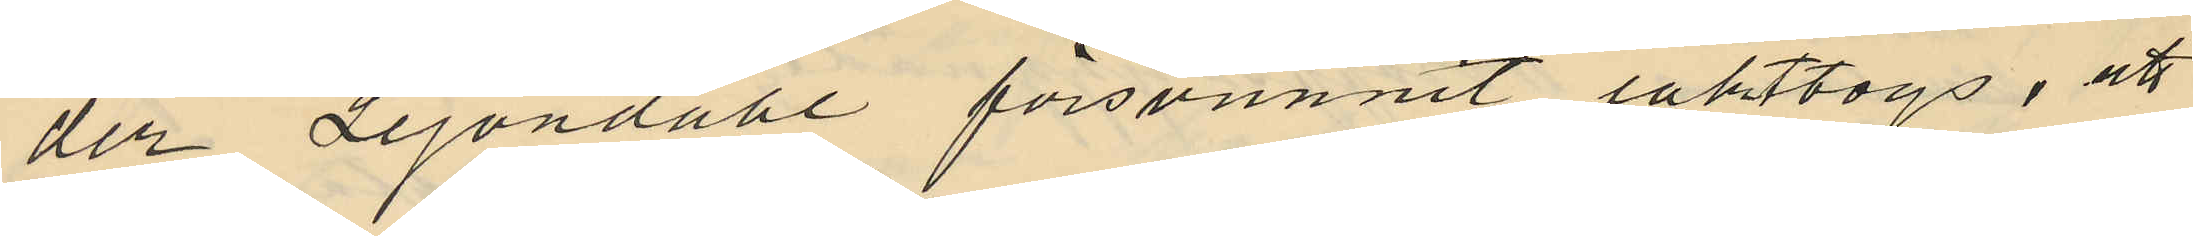der Lejondahl försvunnit iakttogs; att
